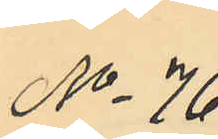No 76
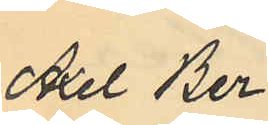Axel Ber¬
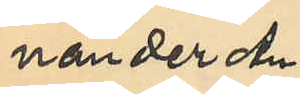nander An¬
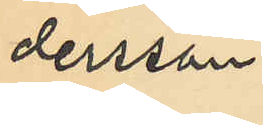dersson.
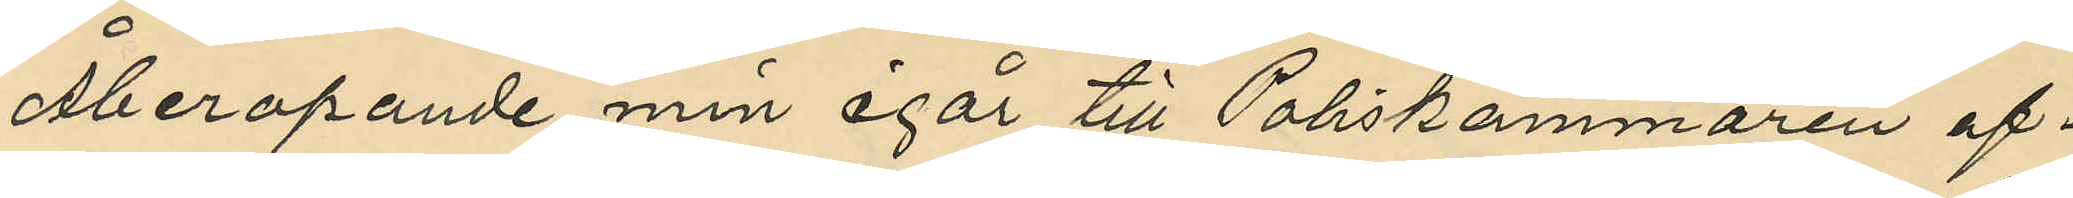Åberopande min igår till Poliskammaren af¬
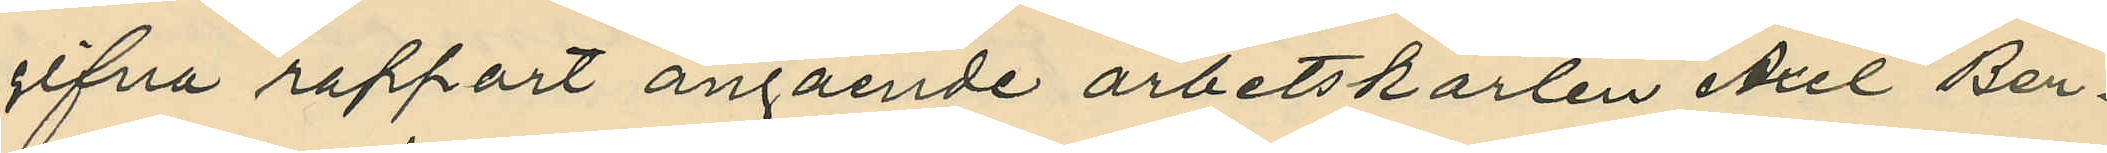gifna rapport angående arbetskarlen Axel Ber¬
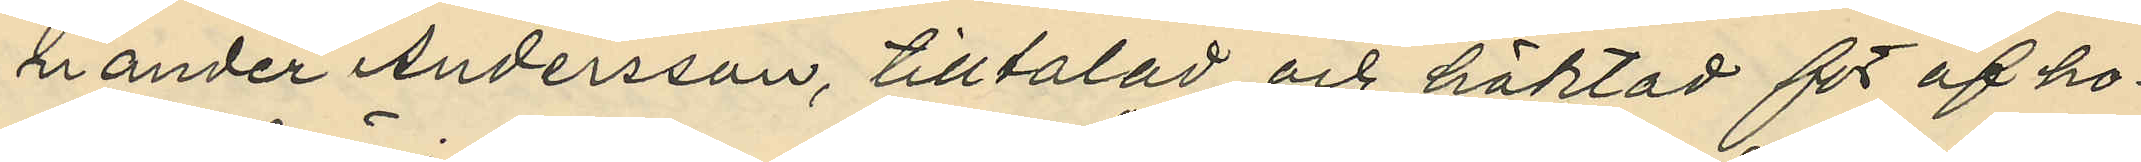rander Andersson, tilltalad och häktad för af ho¬
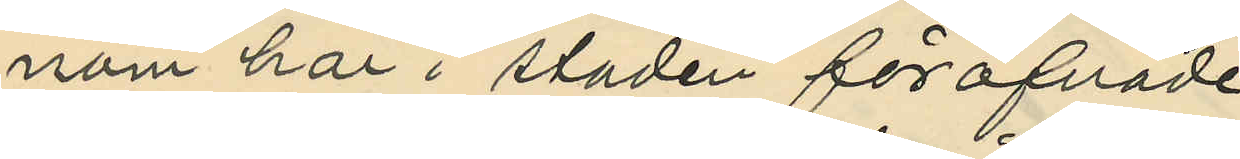nom här i staden föröfvade
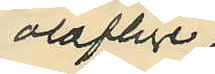oloflige
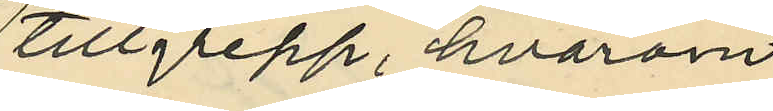tillgrepp, hvarom
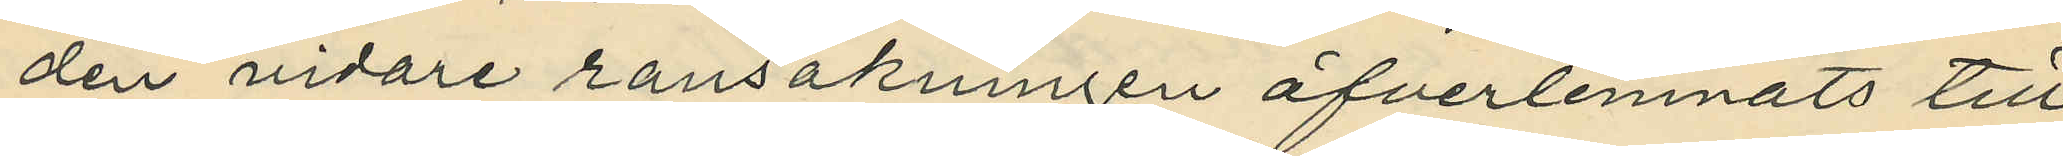den vidare ransakningen öfverlemnats till
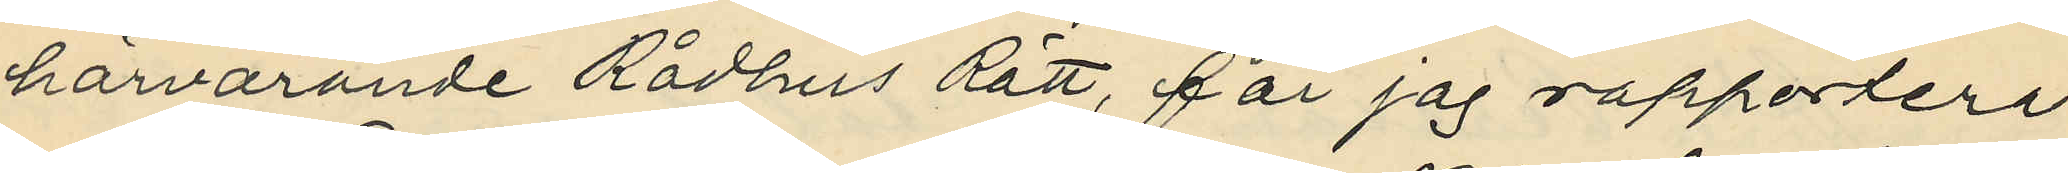härvarande Rådhus Rätt, får jag rapportera
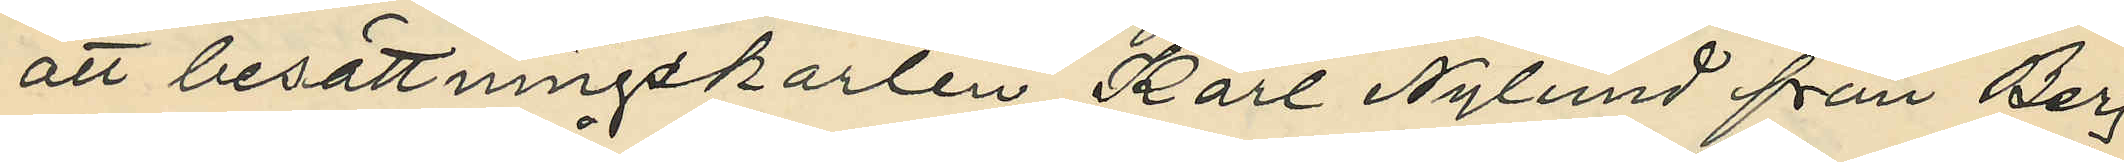att besättningskarlen Karl Nylund från Berg
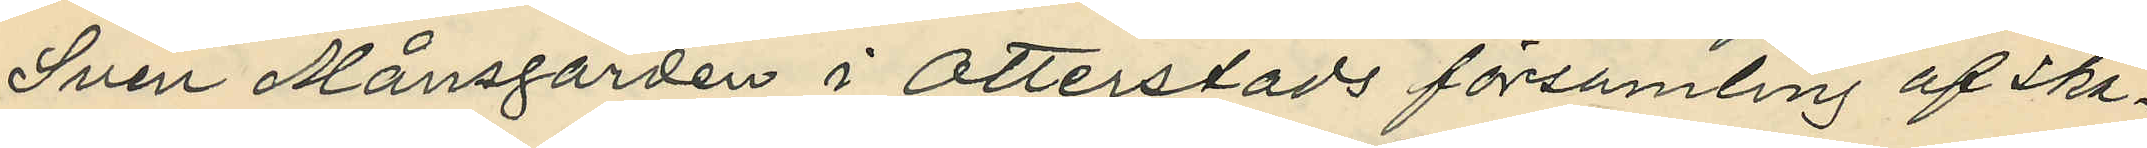Sven Månsgården i Otterstads församling af Ska¬
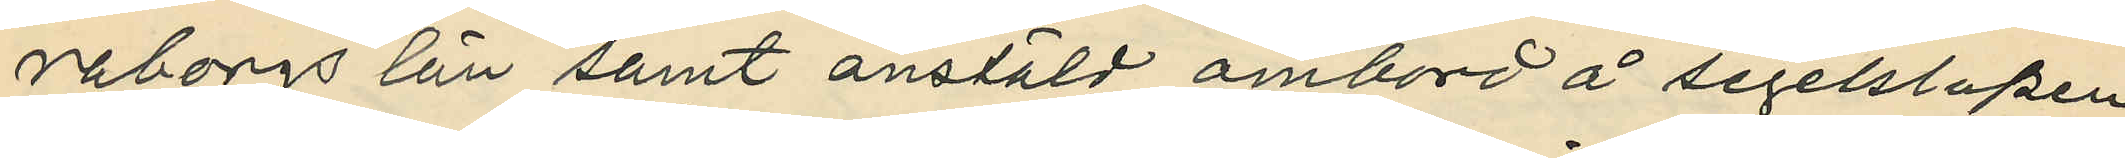raborgs län samt anstäld ombord å segelslupen
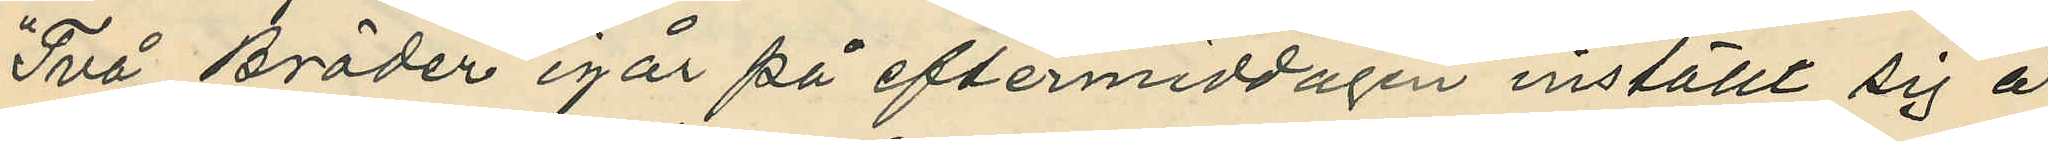"Två Bröder" igår på eftermiddagen inställt sig å
